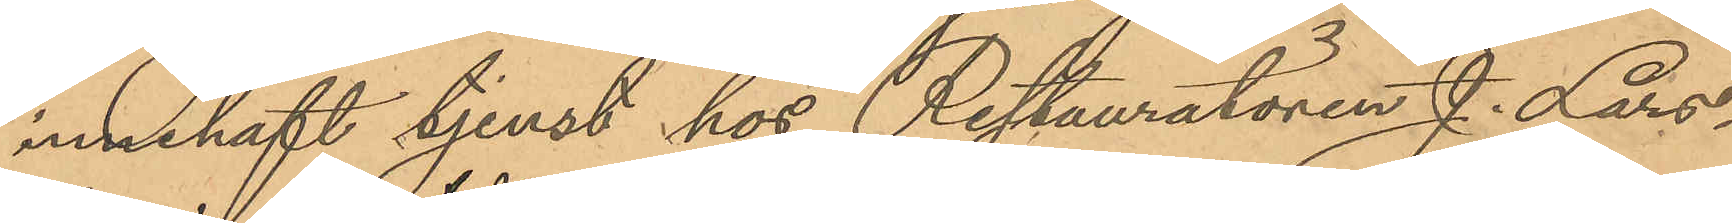innehaft tjenst hos Restauratören J. Lars¬
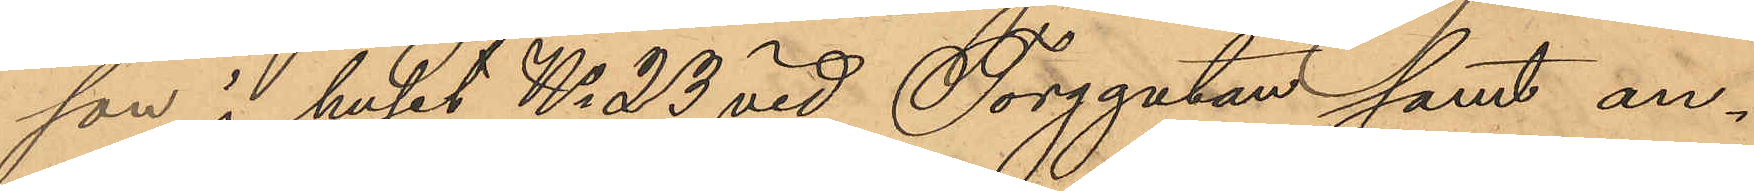son i huset No 23 vid Torggatan samt an¬
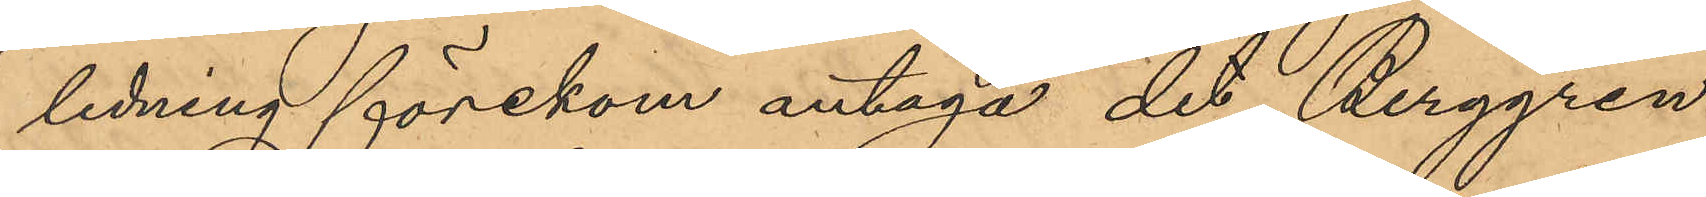ledning förekom antaga det Berggren
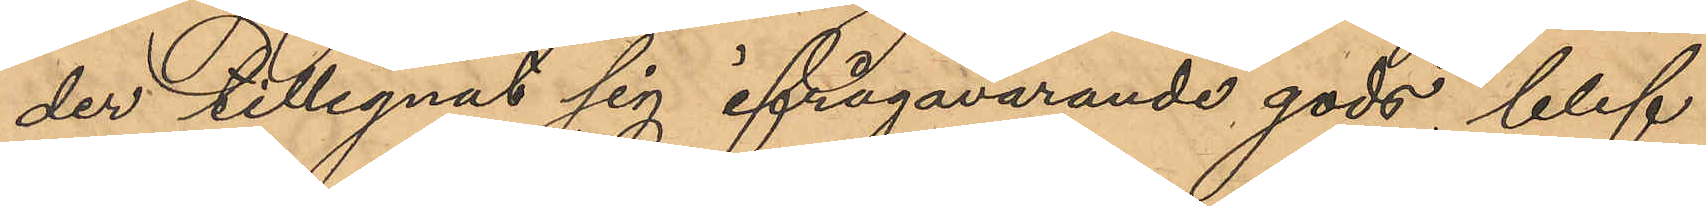der tillegnat sig ifrågavarande gods, blef
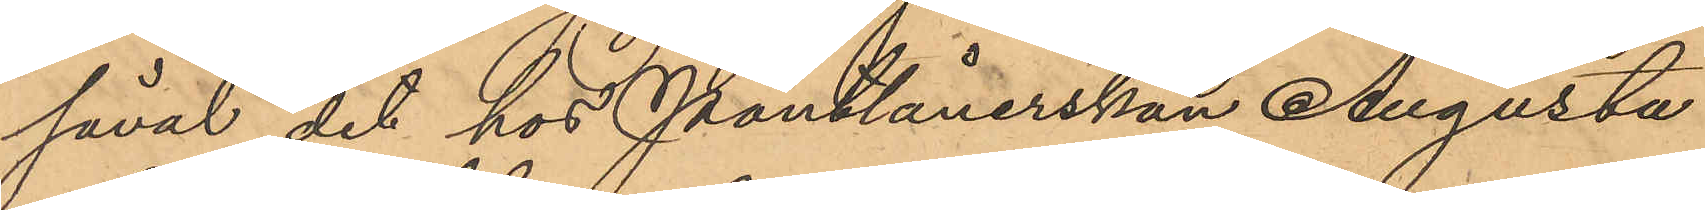såväl det hos Pantlånerskan Augusta
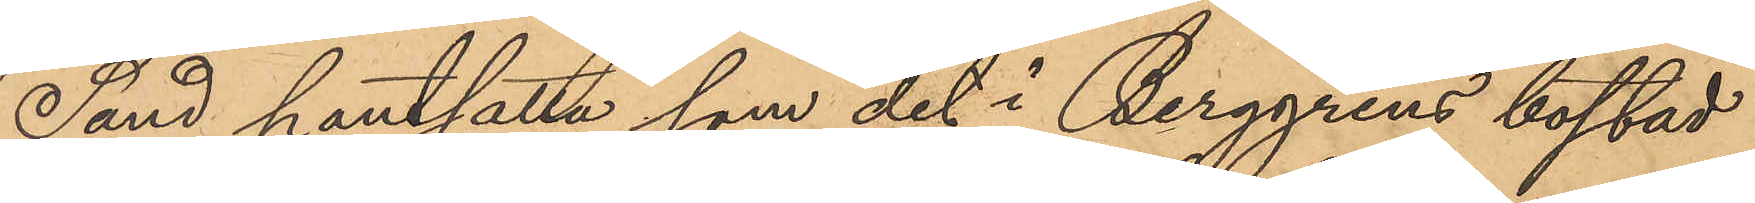Sand pantsatta som det i Berggrens bostad
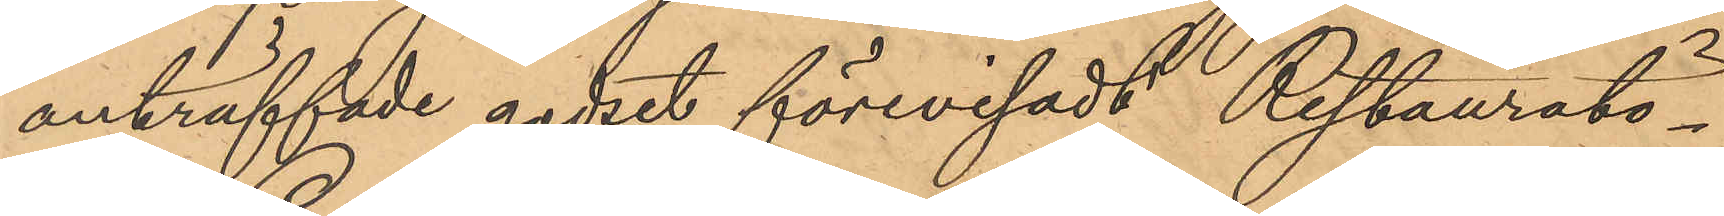anträffade godset förevisadt Restauratö¬
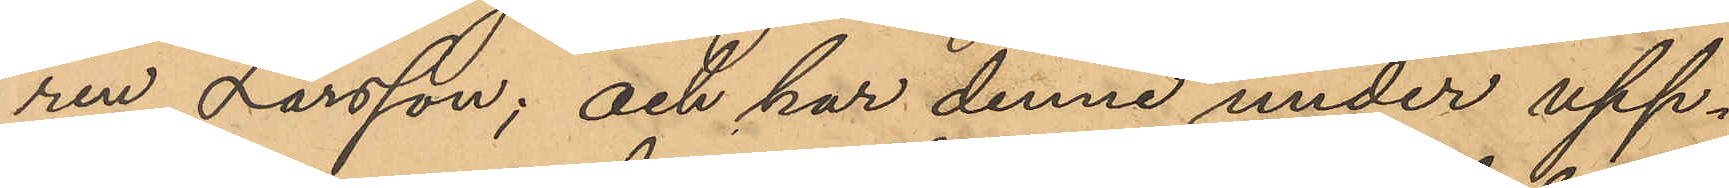ren Larsson; och har denne under upp¬
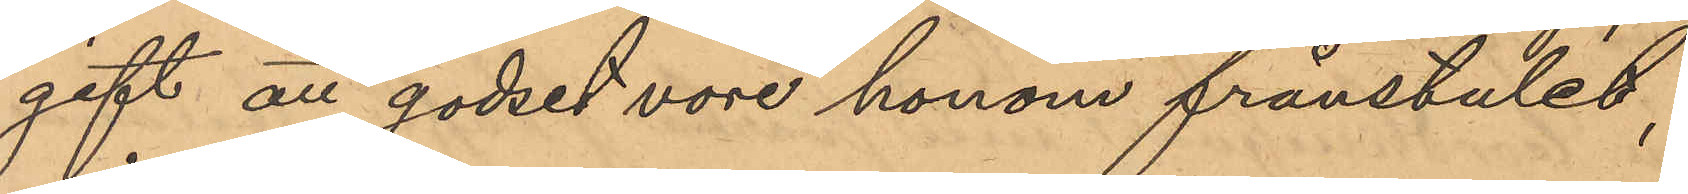gift att godset vore honom frånstulet,
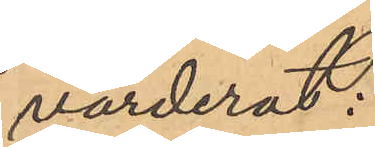värderat:
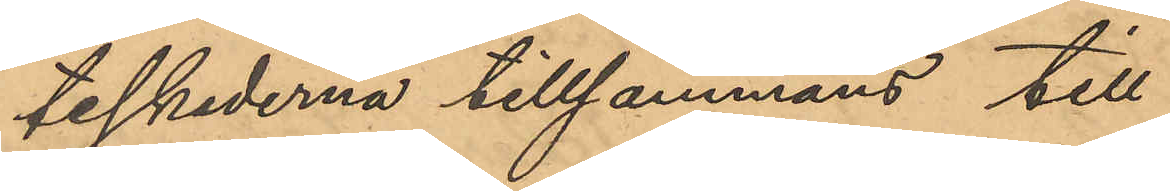teskederna tillsammans till
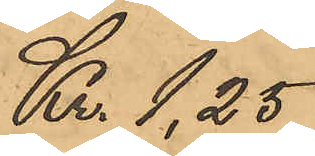Kr. 1,25
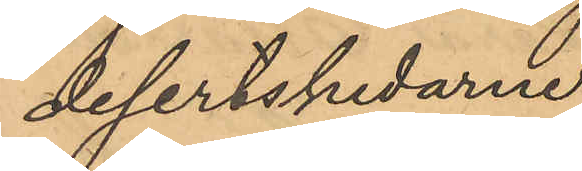desertskedarne
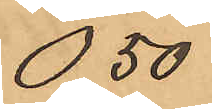0,50
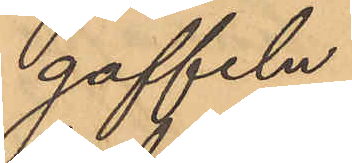gaffeln
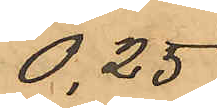0,25
